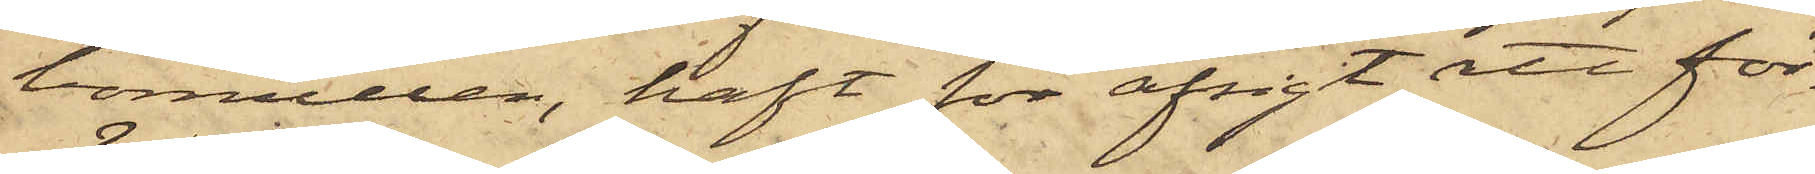bomullen, haft för afsigt att för¬
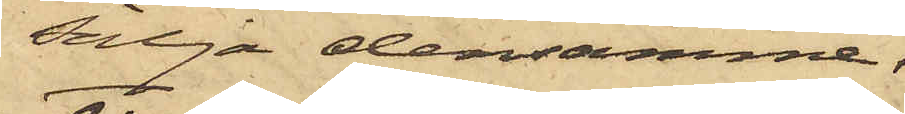sälja densamma.
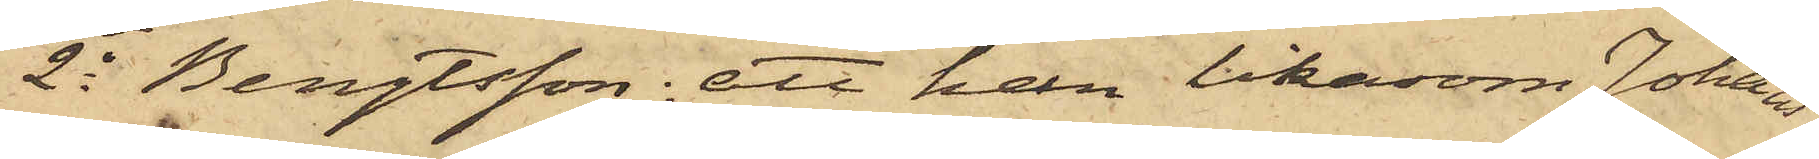2o Bengtsson: att han likasom Johans¬
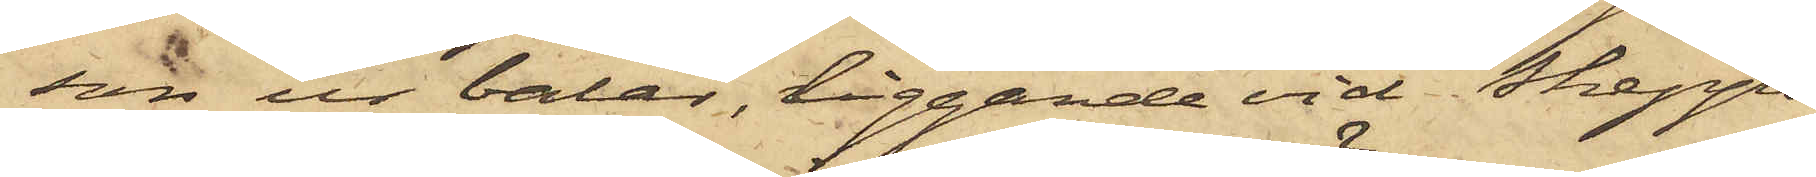son ur balar, liggande vid Skepps¬
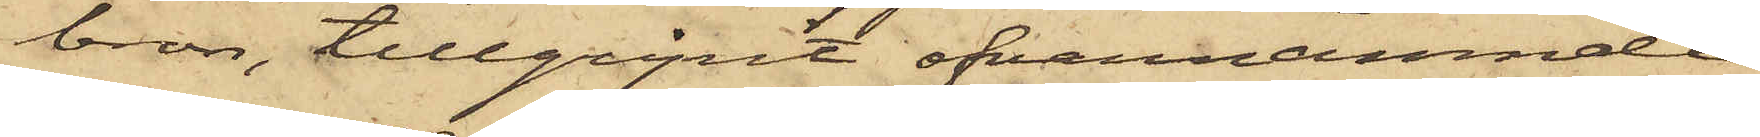bron, tillgripit ofvannämnde
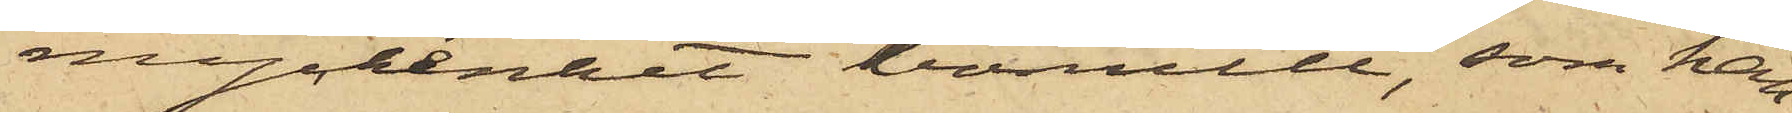myckenhet bomull, som han
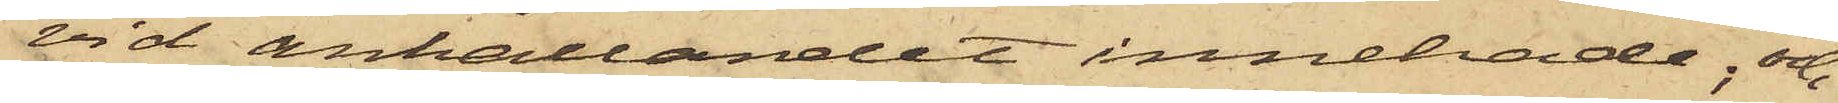vid anhållandet innehade; och
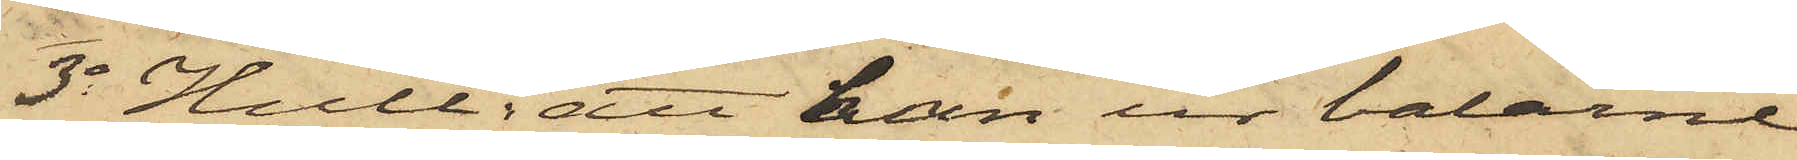3o Hult: att han ur balarne
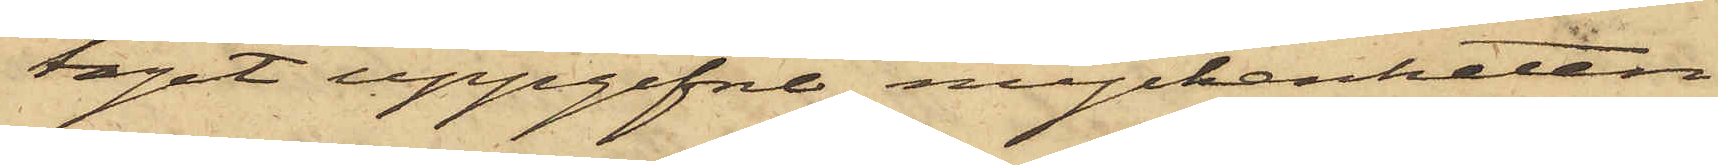tagit uppgifne myckenheten
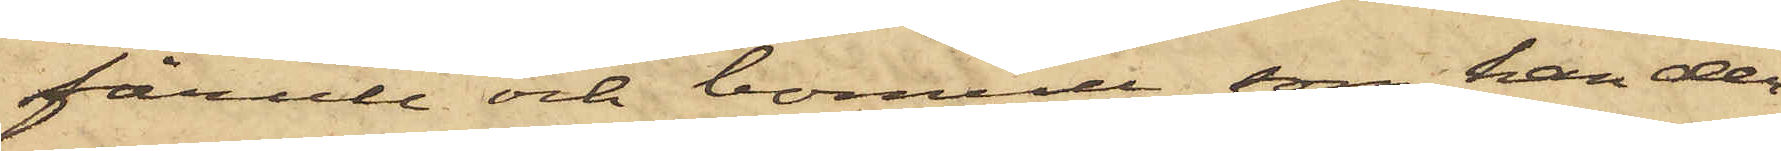fårull och bomull, som han der¬
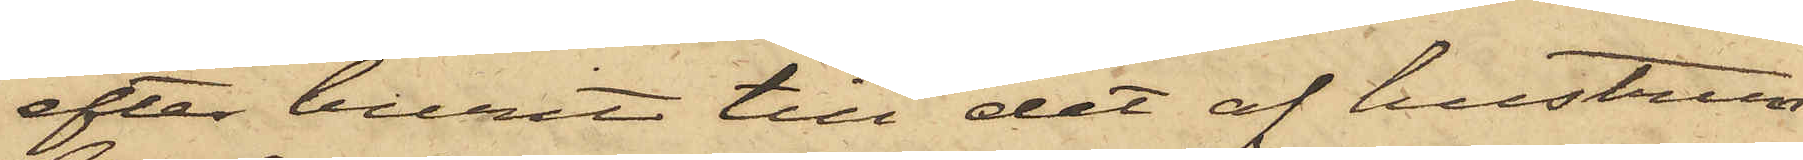efter burit till det af hustrun
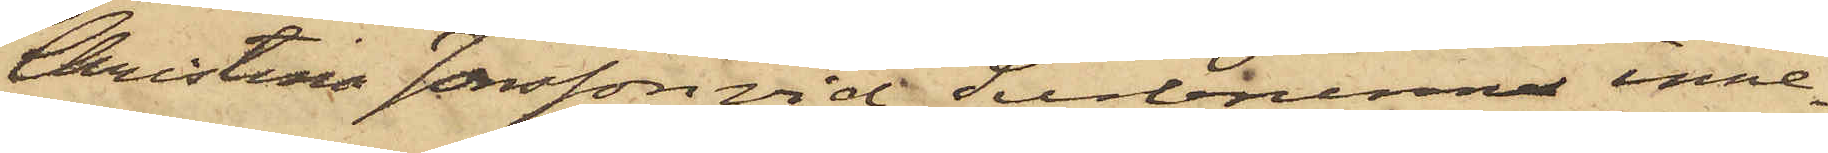Christina Jonsson vid Surbrunn inne¬
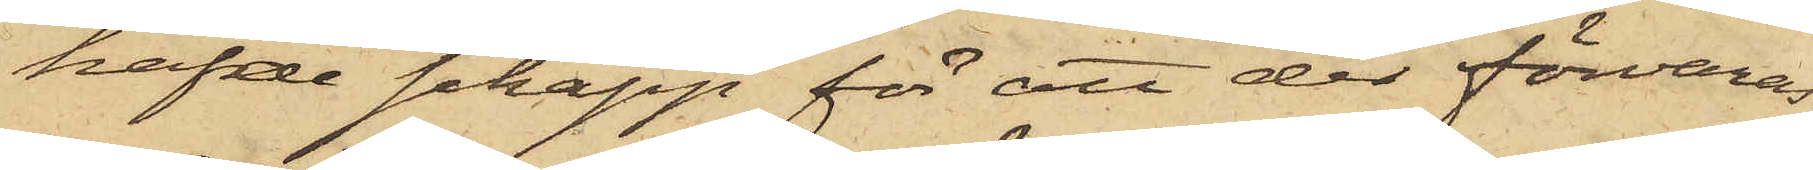hafde schapp för att der förvaras.
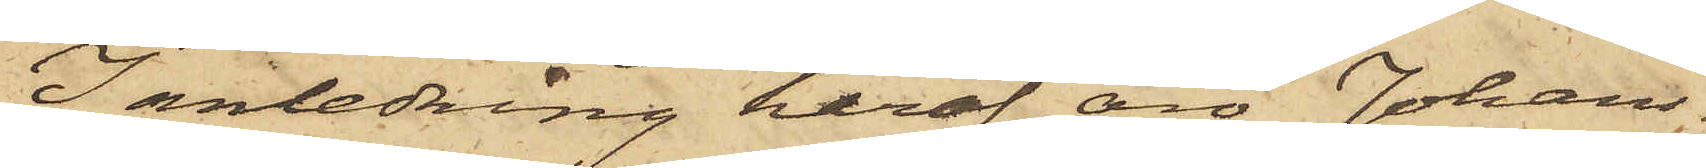I anledning häraf äro Johans¬
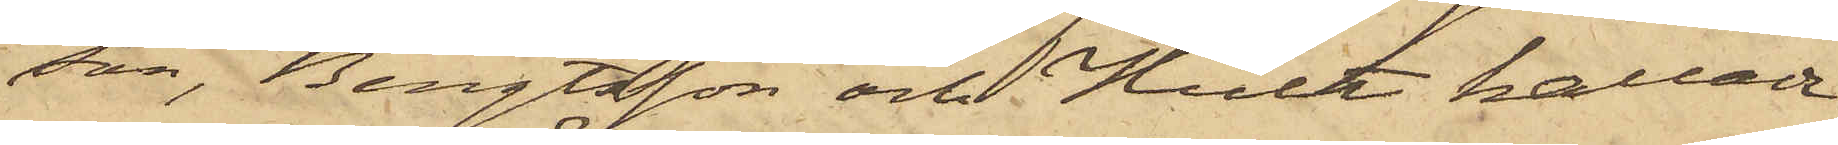son, Bengtsson och Hult kallade
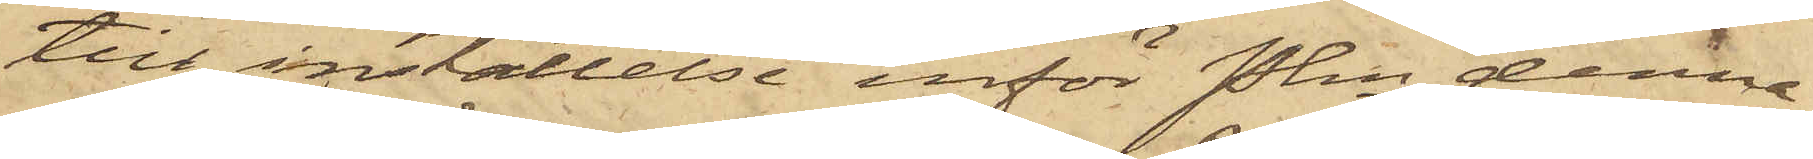till inställelse inför Pkn denna
